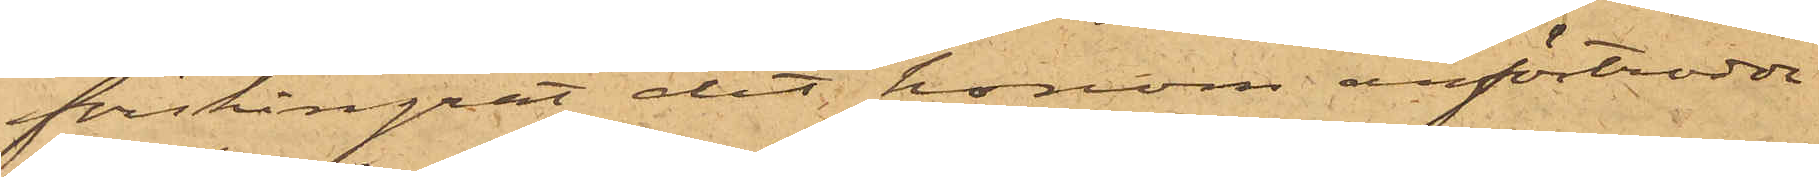förskingrat det honom anförtrodda.
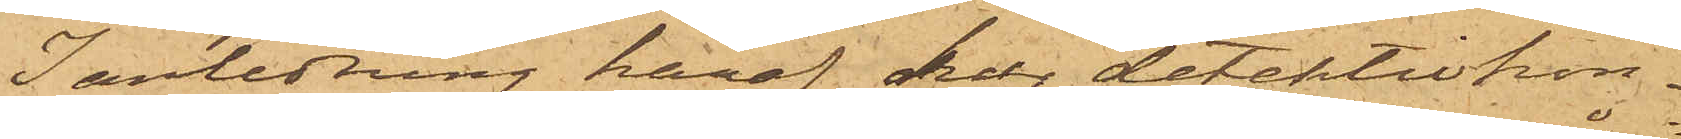I anledning häraf har detektivkon¬
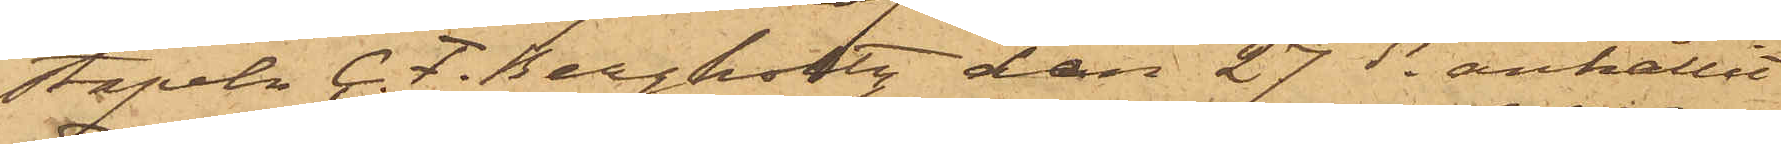stapeln C. F. Bergholtz den 27 ds anhållit
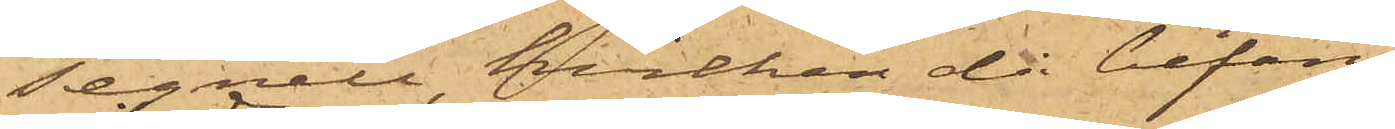Tegnell, hvilken då befans
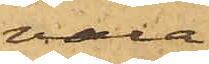vara
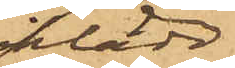iklädd
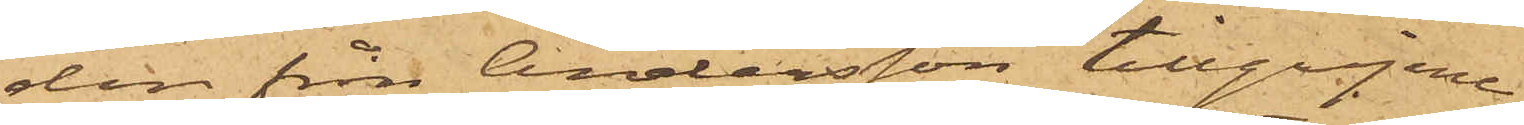den från Andersson tillgripne
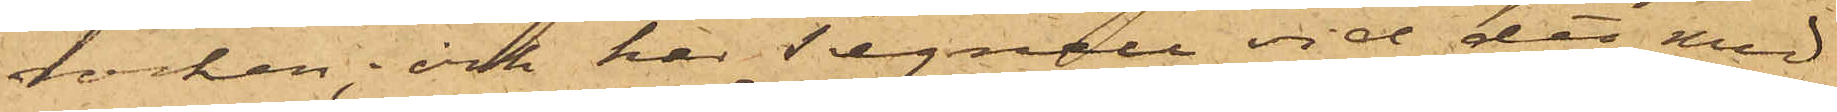rocken; och har Tegnell vid det med
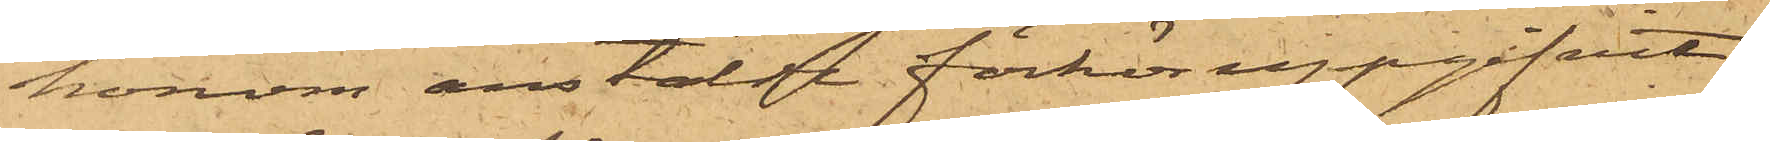honom anstälde förhör uppgifvit,
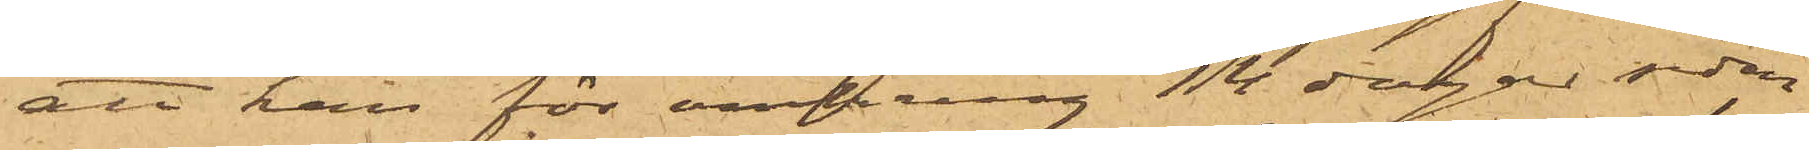att han för omkring 14 dagar sedan
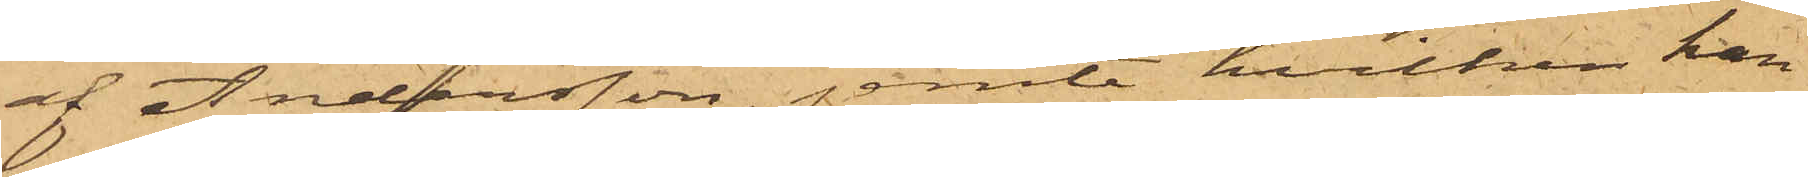af Andersson, jemte hvilken han
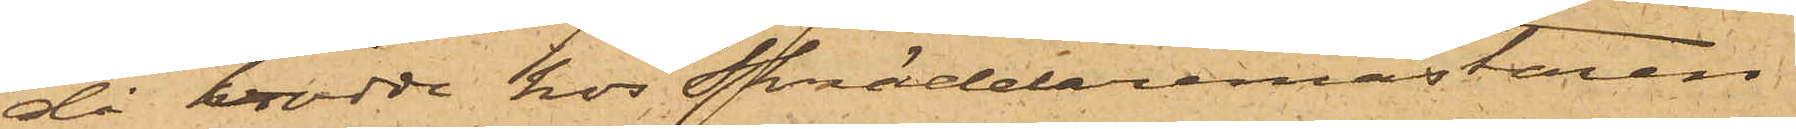då bodde hos Skräddaremästare
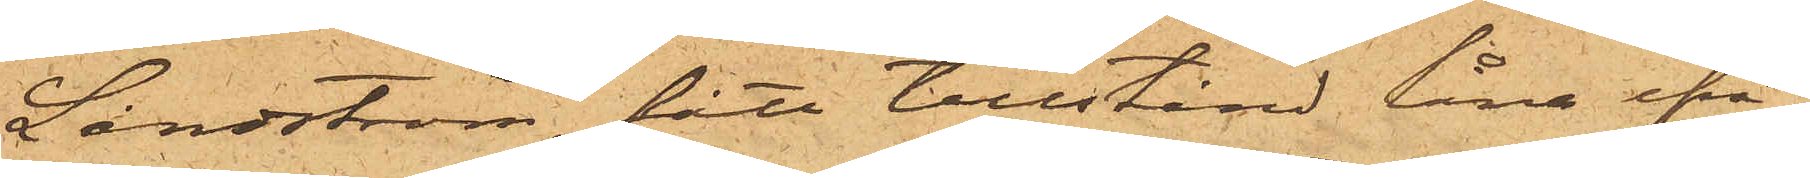Lindström, fått tillstånd låna ifrå¬
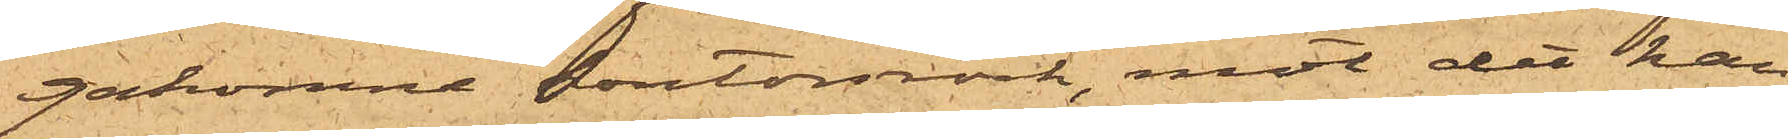gakomne kontorsrock, mot det han
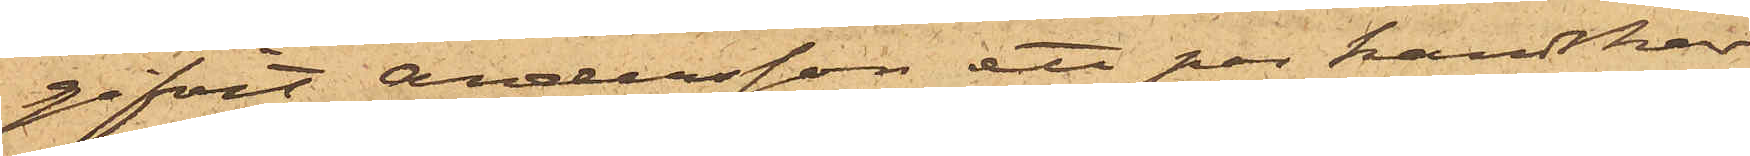gifvit Andersson ett par handskar
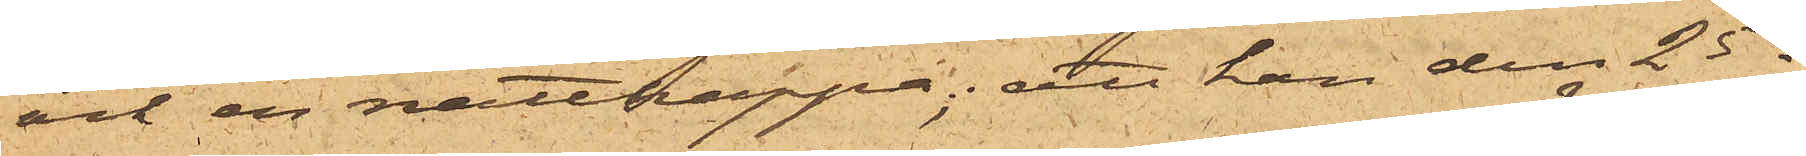och en nattkappa; att han den 25 ds
